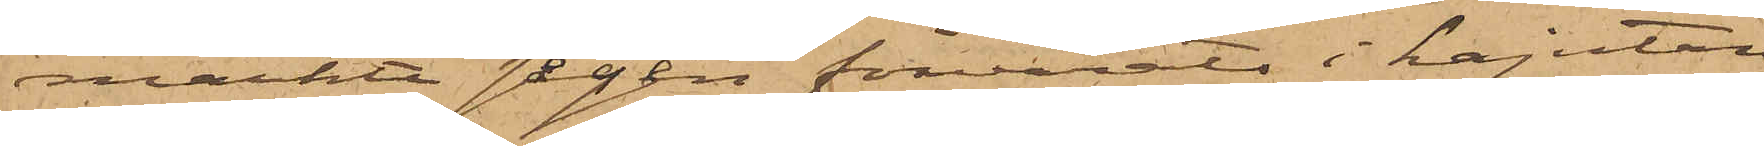märkte sågen förvarats i kajutan
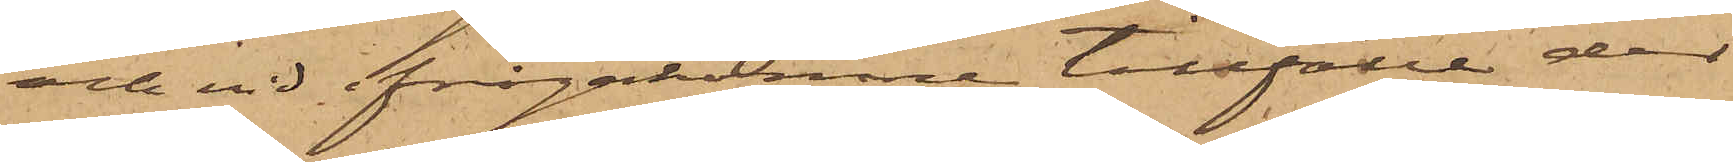och vid ifrågakomne tillfälle der
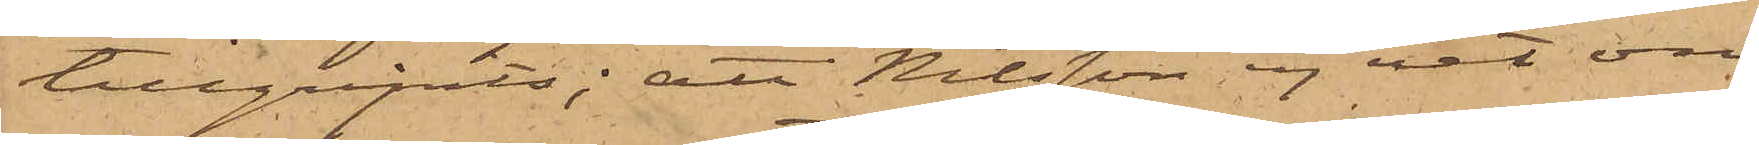tillgripits; att Nilsson ej vet om
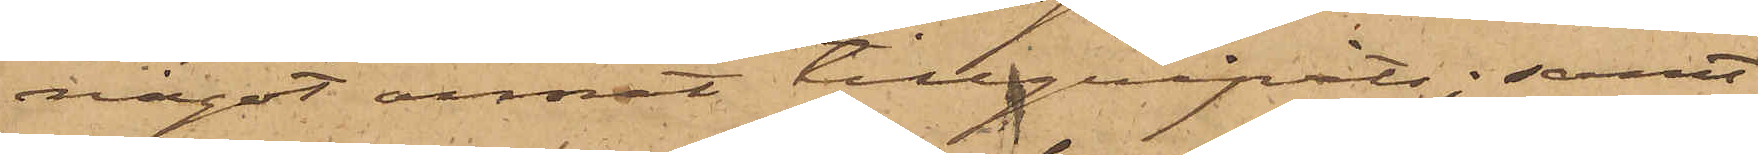något annat tillgripits; samt
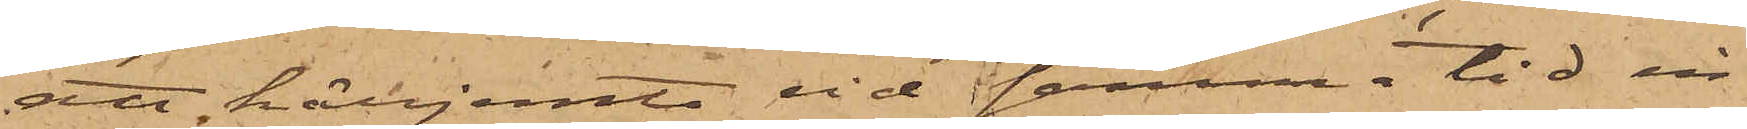att härjemte vid samma tid in¬
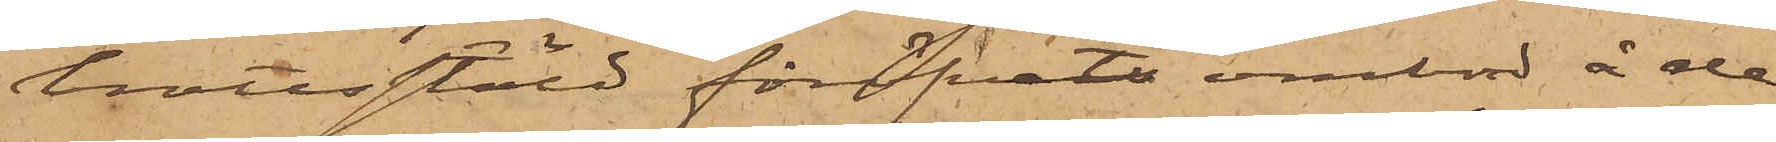brottsstöld föröfvats ombord å de
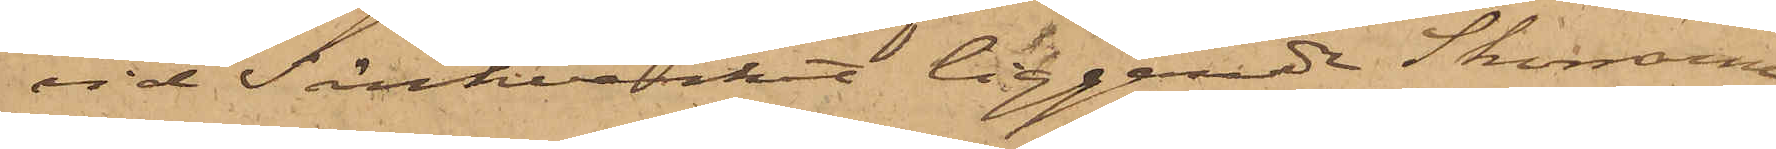vid Sänkverket liggande Skonarna
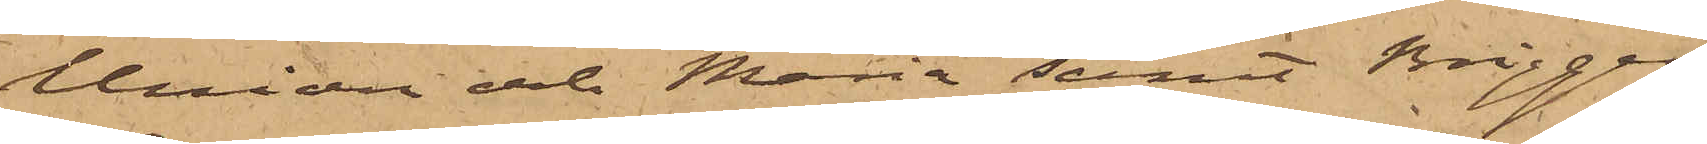Union och Maria samt Briggen
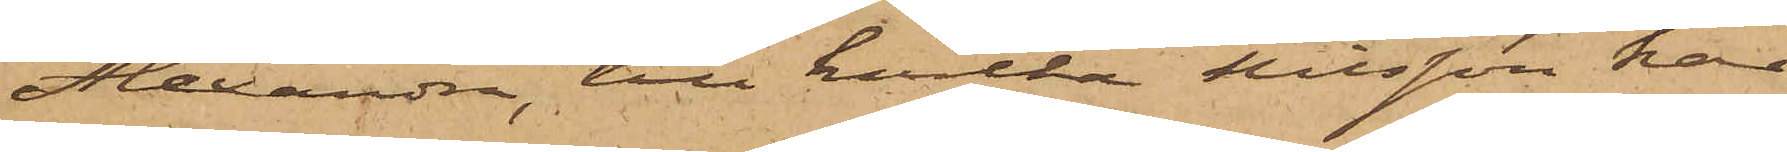Alexandra, till hvilka Nilsson har
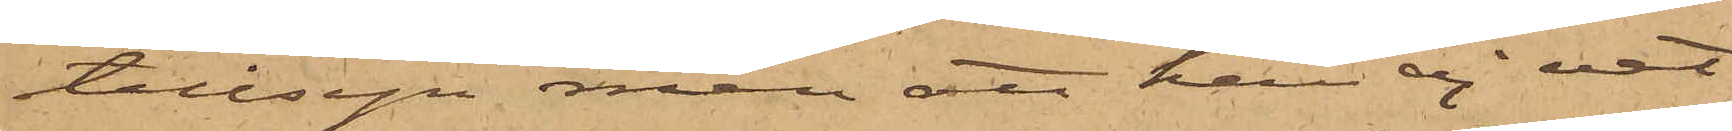tillsyn men att han ej vet
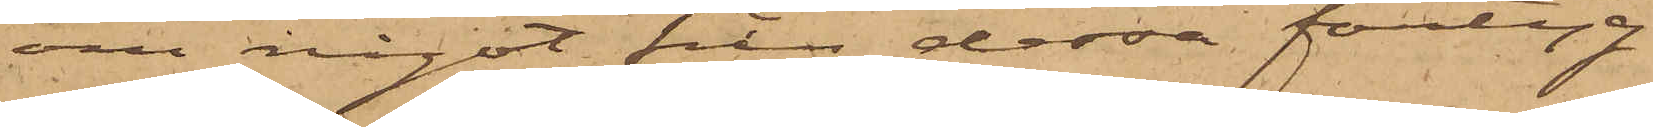om något från dessa fartyg
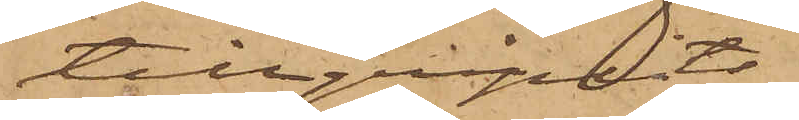tillgripits.
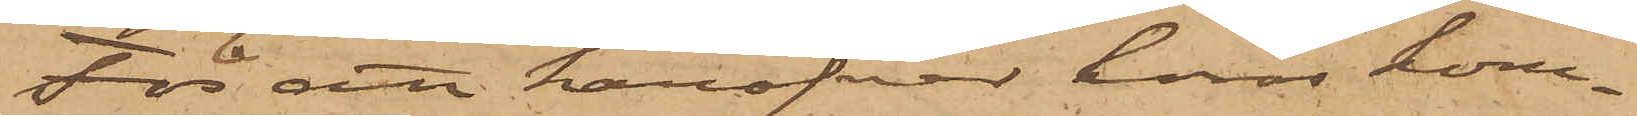För att häröfver höras kom¬
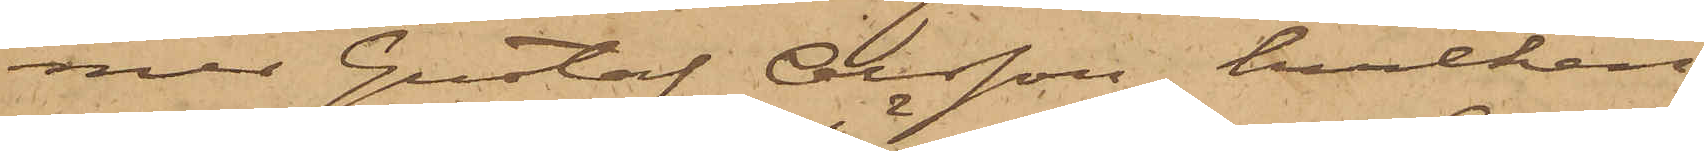mer Gustaf Olsson, hvilken
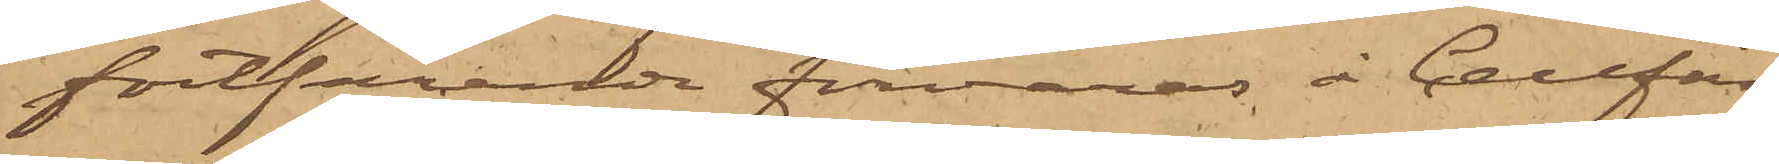fortfarande förvaras å Cellfän¬
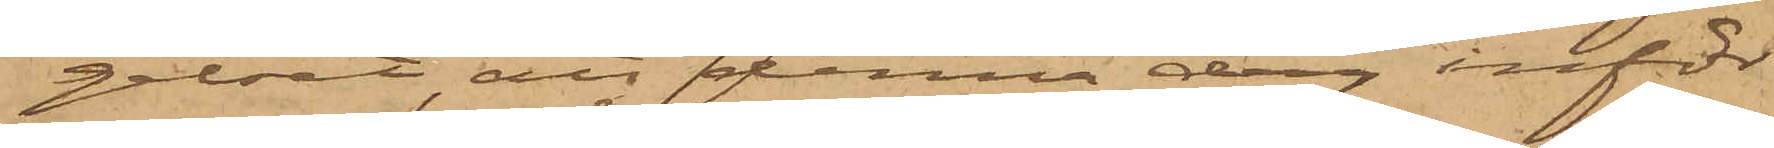gelset att denna dag inför
